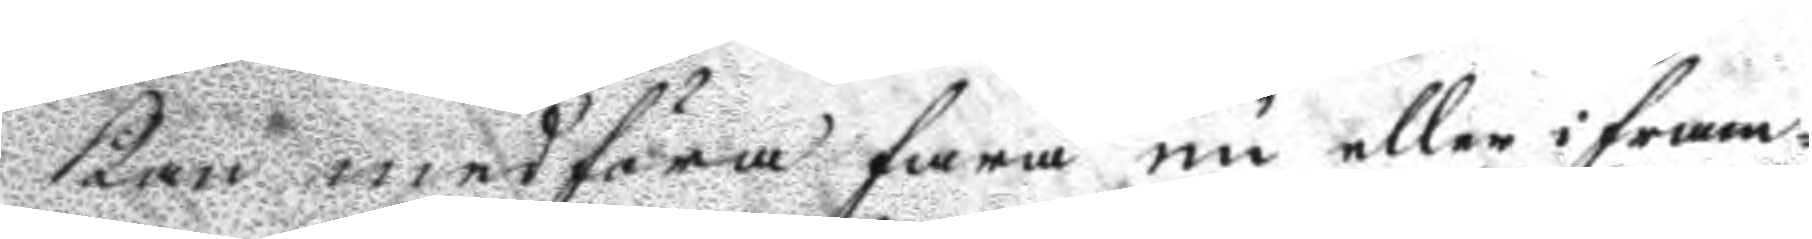kan medföra fara nu eller i fram¬
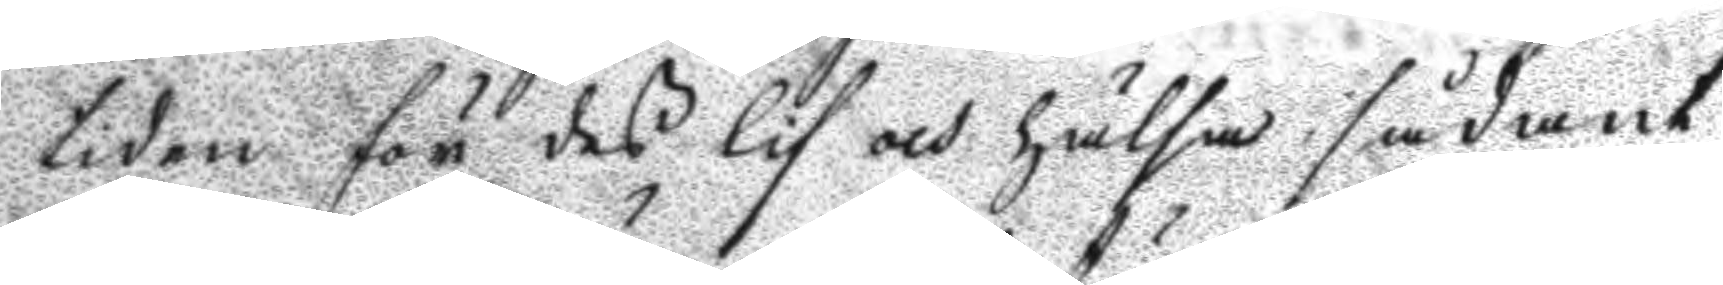tiden för des lif och hälsa sådant
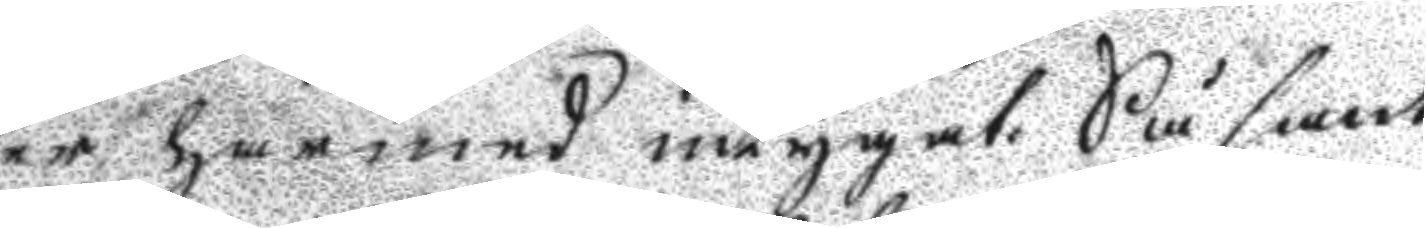warder härmed intygat. Så sant
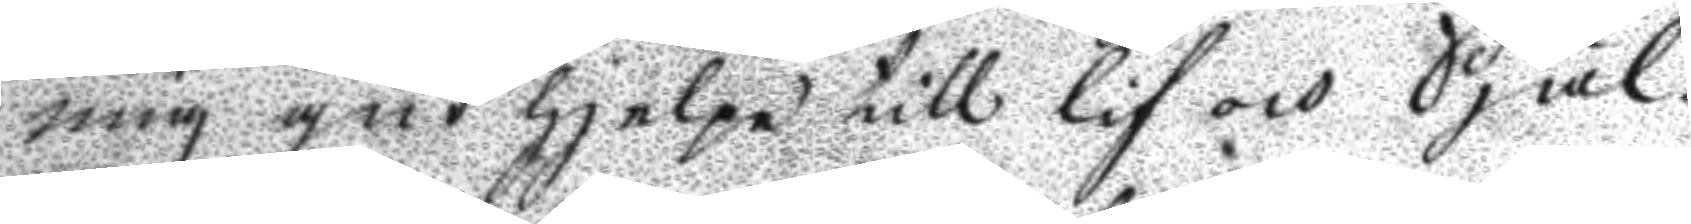mig gud hjelpe till lif och Själ.
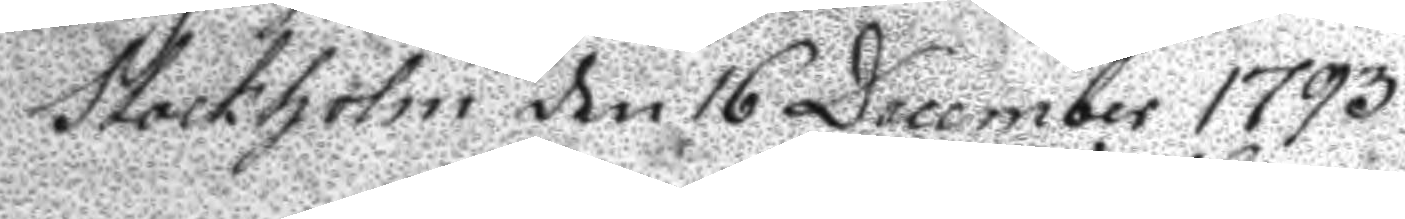Stockholm den 16 December 1793
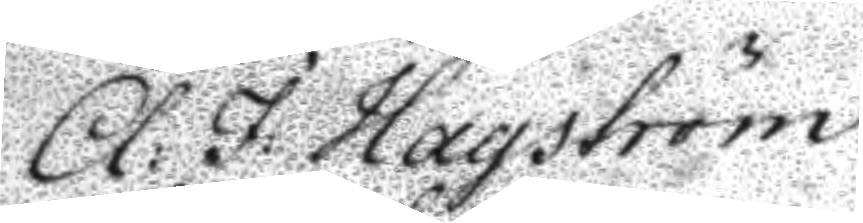A: J: Hagström
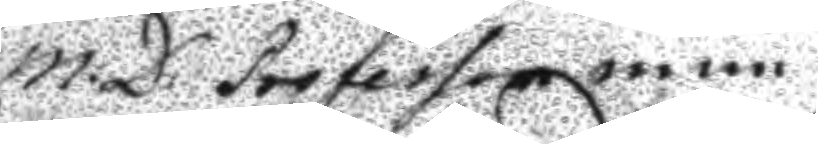m:D: Professor m m
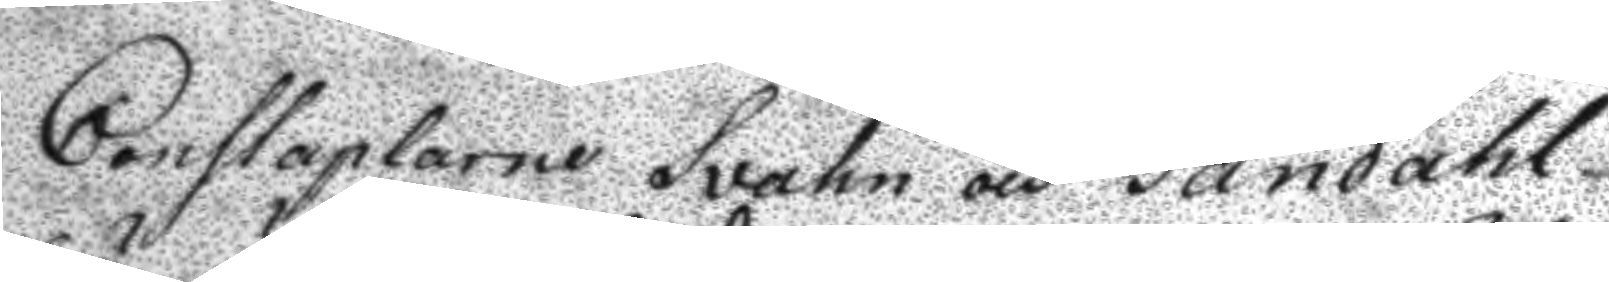Constaplarne Svahn och Sandahl
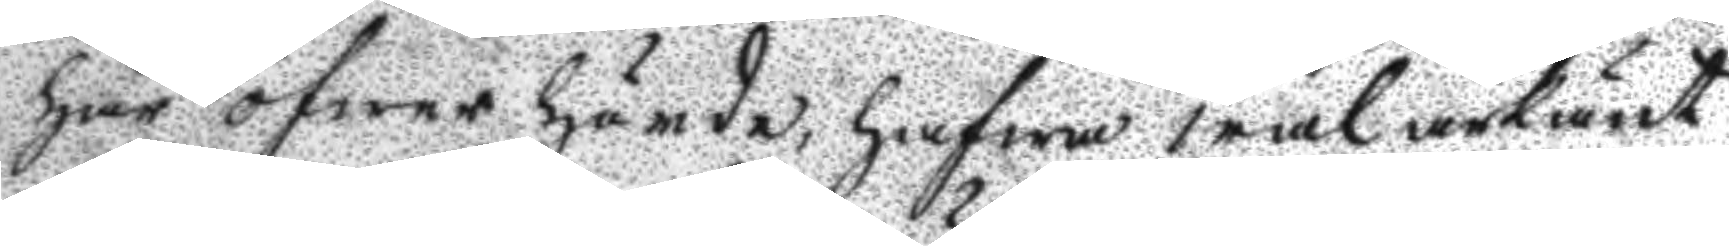här öfwer hörda, hafwa wäl ärkänt
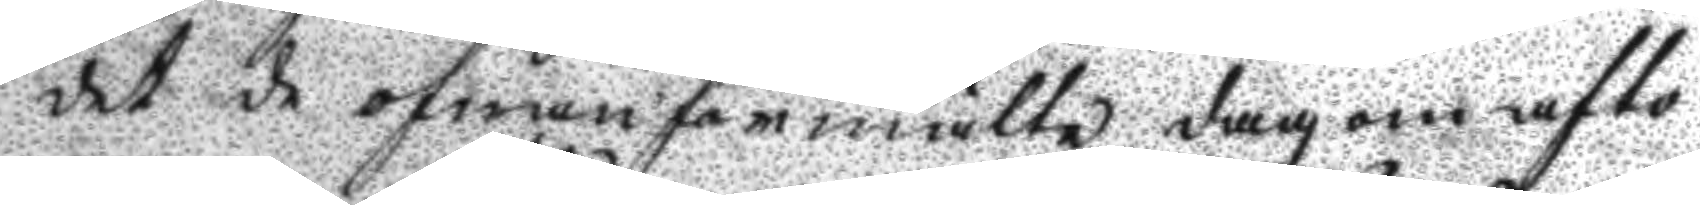det de ofwanförmälte dag om afto¬
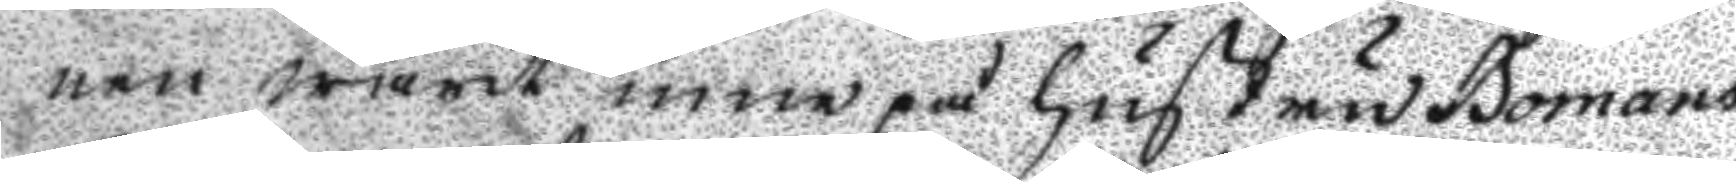nen warit inne på hustru Bomans
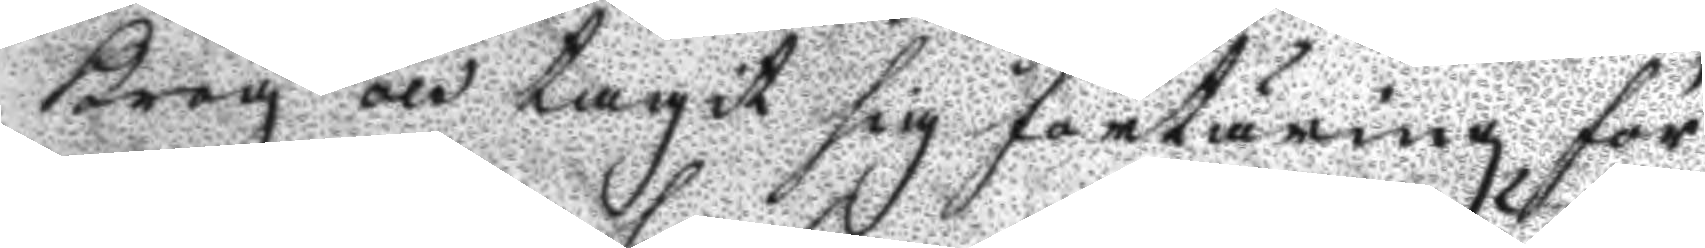Krog och tagit sig förtäring för
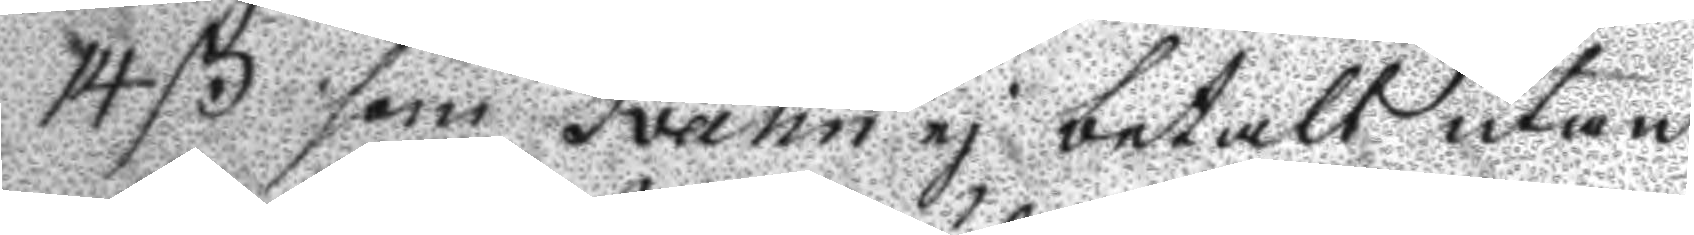14 ß som Svahn ej betalt utan
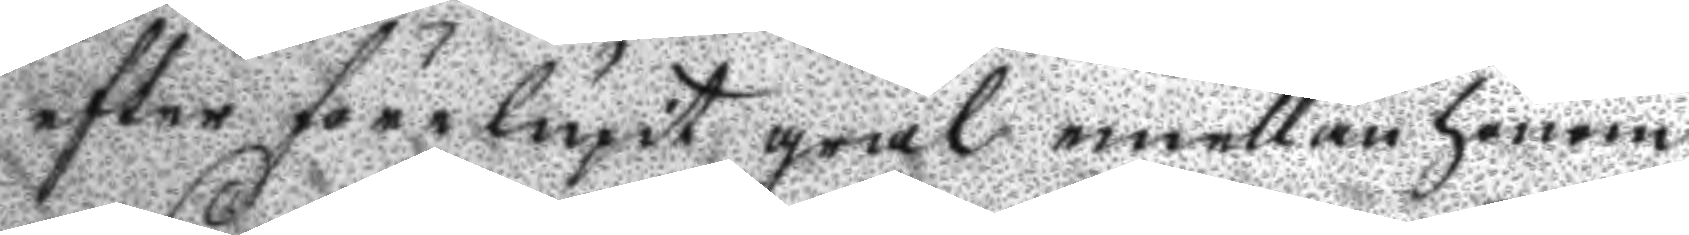efter förelupit gräl emellan honom
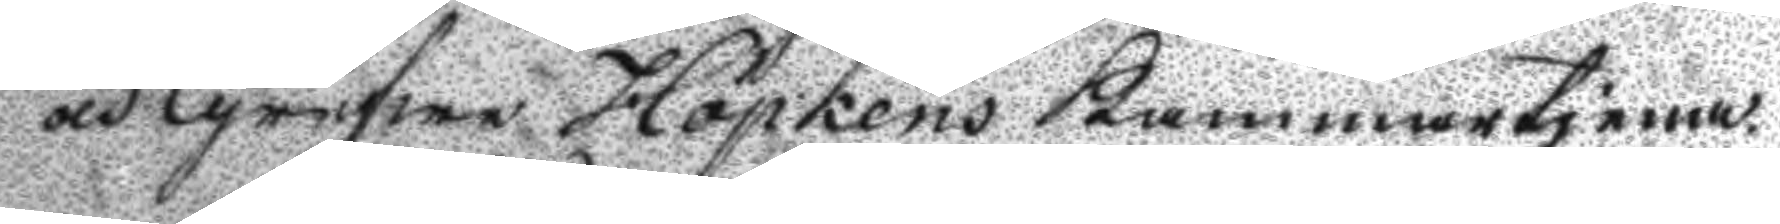och Grefwe Höpkens Kammartjena¬
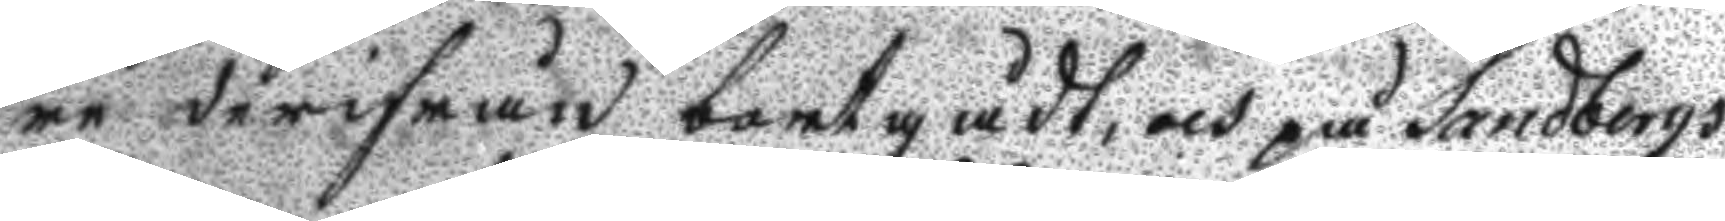re derifrån bortgådt, och på Sandbergs
